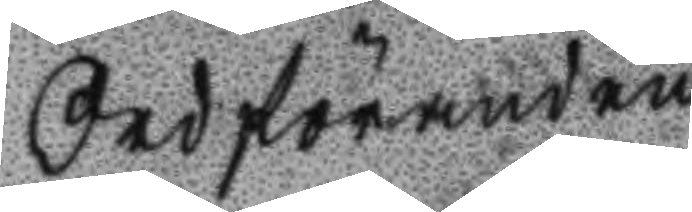Ordföranden
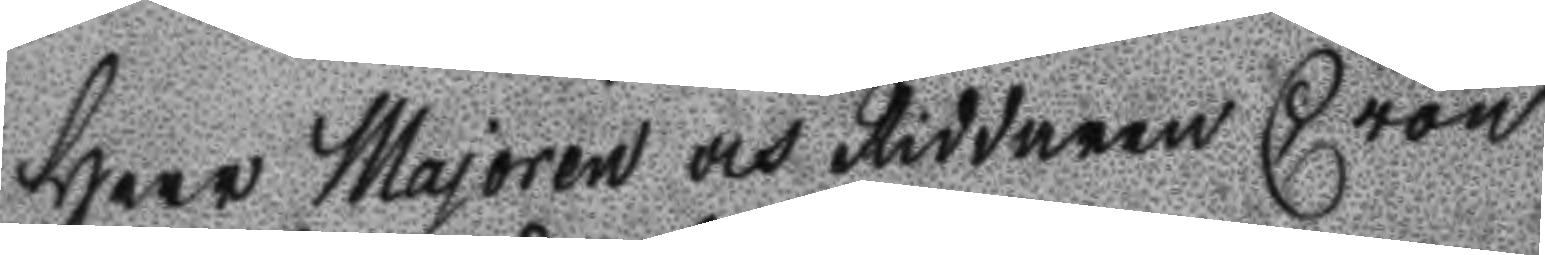Herr Majoren och Riddaren Cron
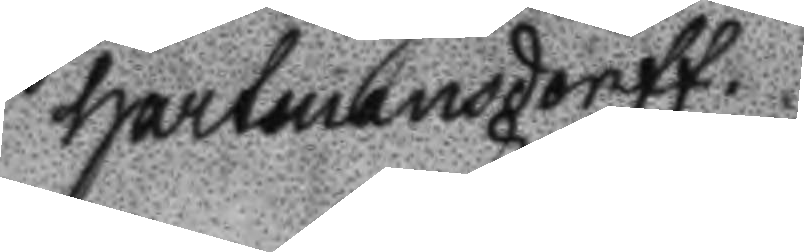hartmandorff
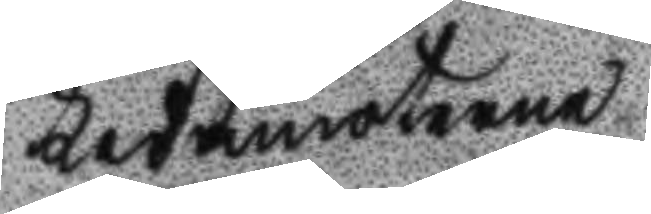Ledamöterne
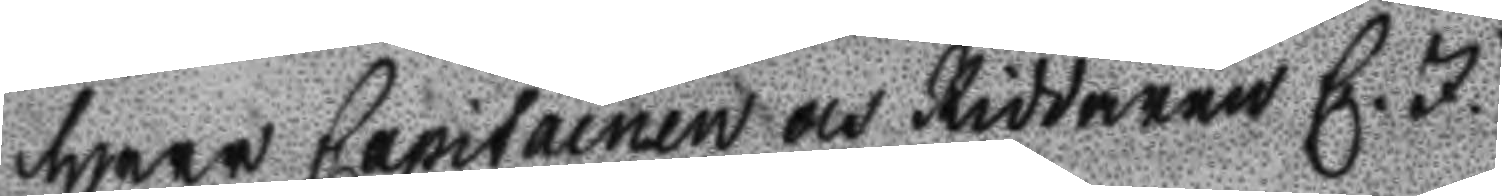Herr capitainen och Riddaren C. J.
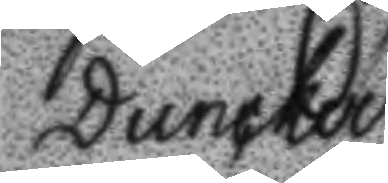Duncker.
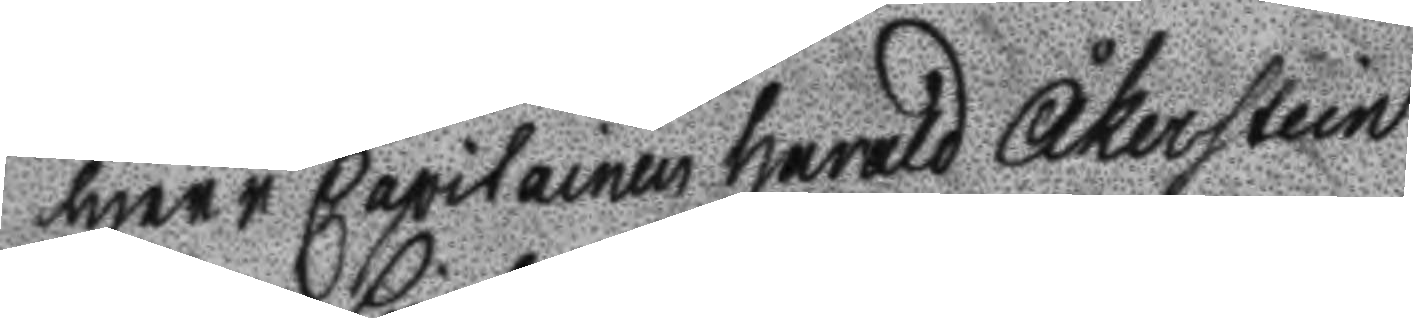Herr Capitainen Harald Åkerstein
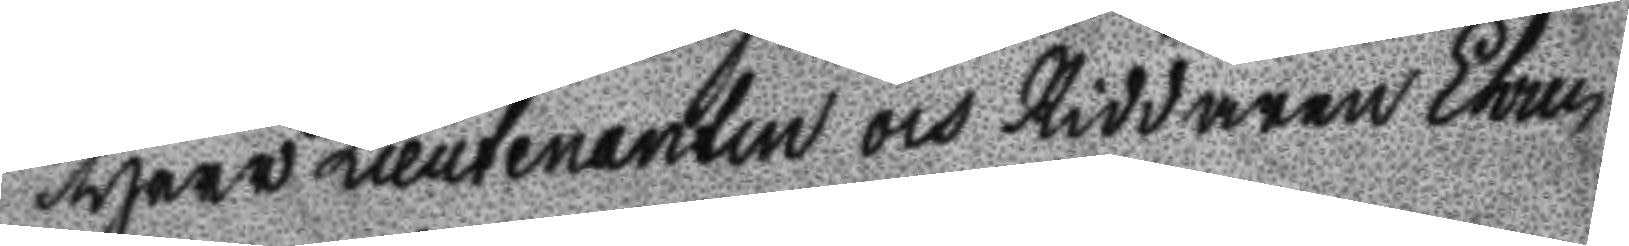Herr Lieutenanten och Riddaren Ehren
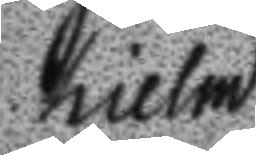hilem
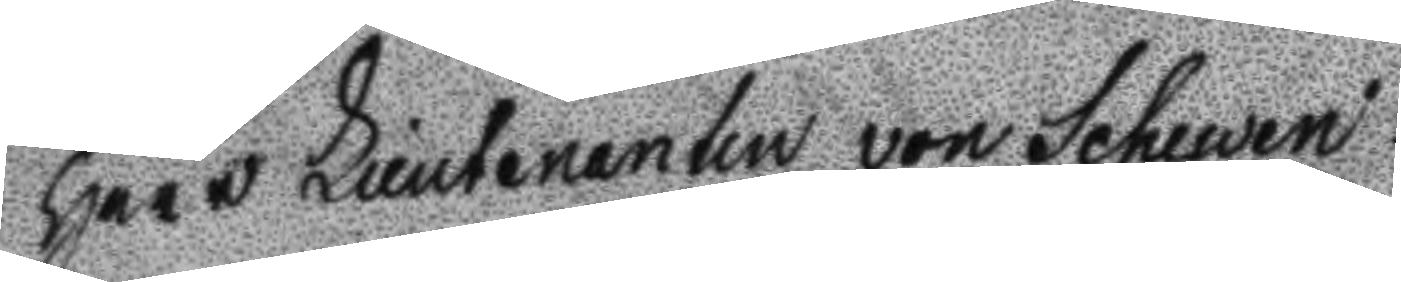Herr Lieutenanten von Schewen
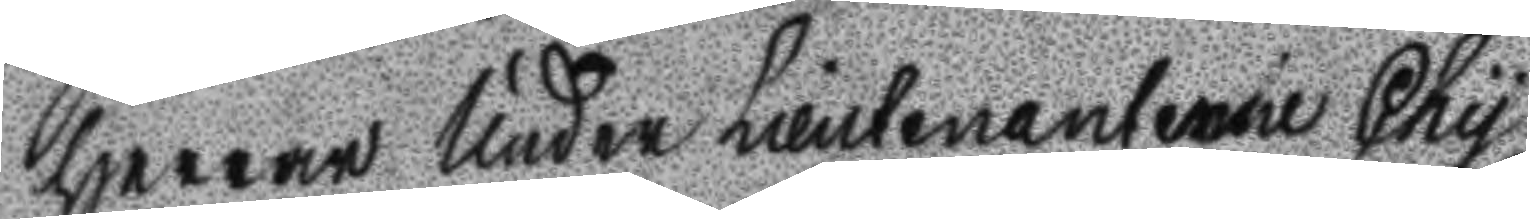Herrar Under Lieutenanterne Chu
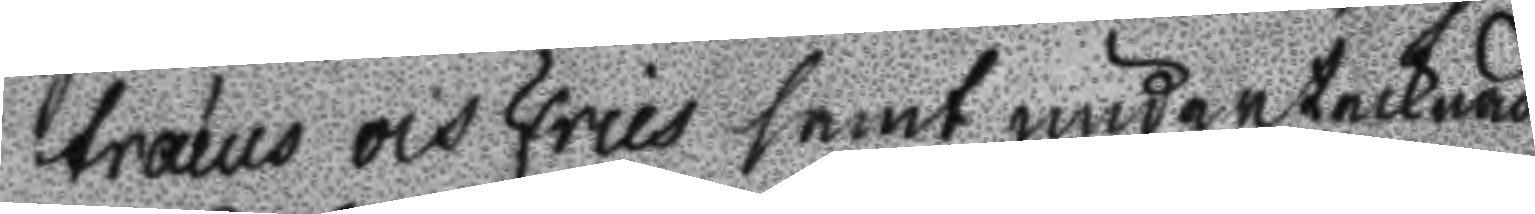træus och fries samt undertecknad
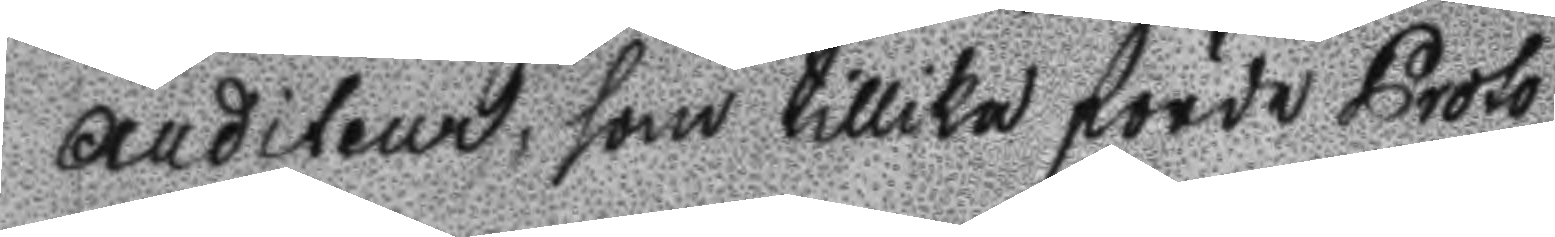Auditeur, som tillika förde Prot
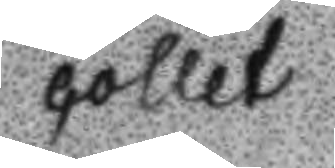collet
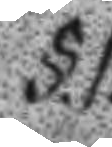§.1.
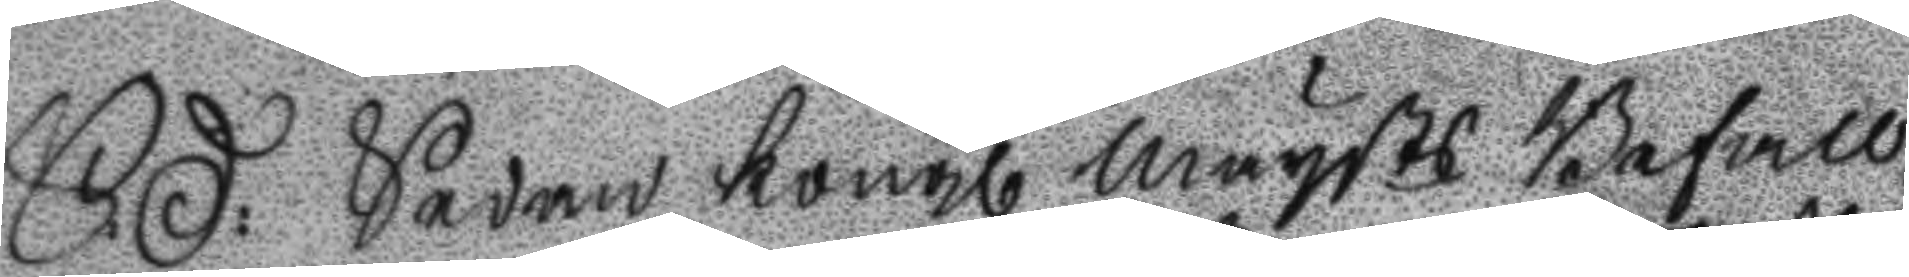S:D: Sedan Kongl Maysts Befall¬
